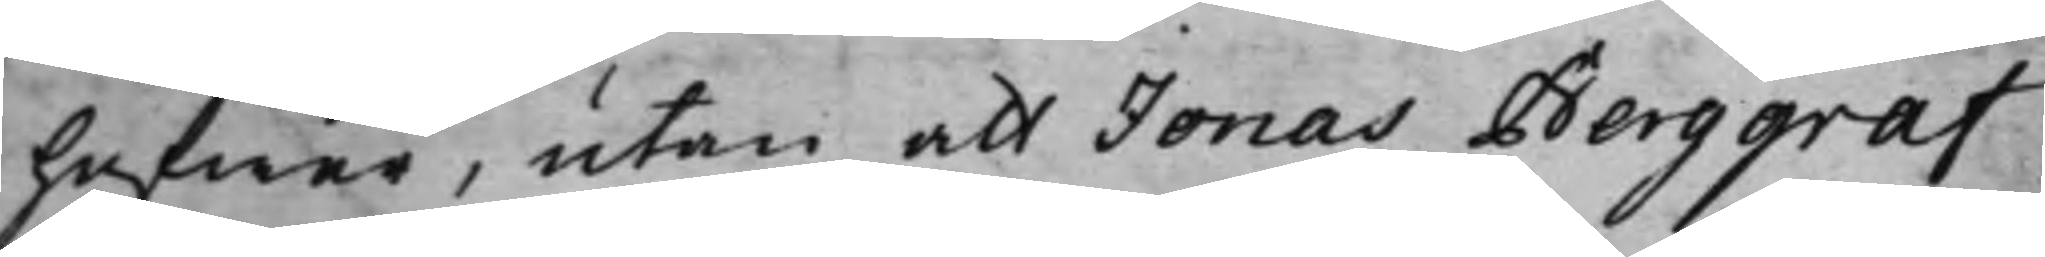hafwer, utan att Jonas Berggraf
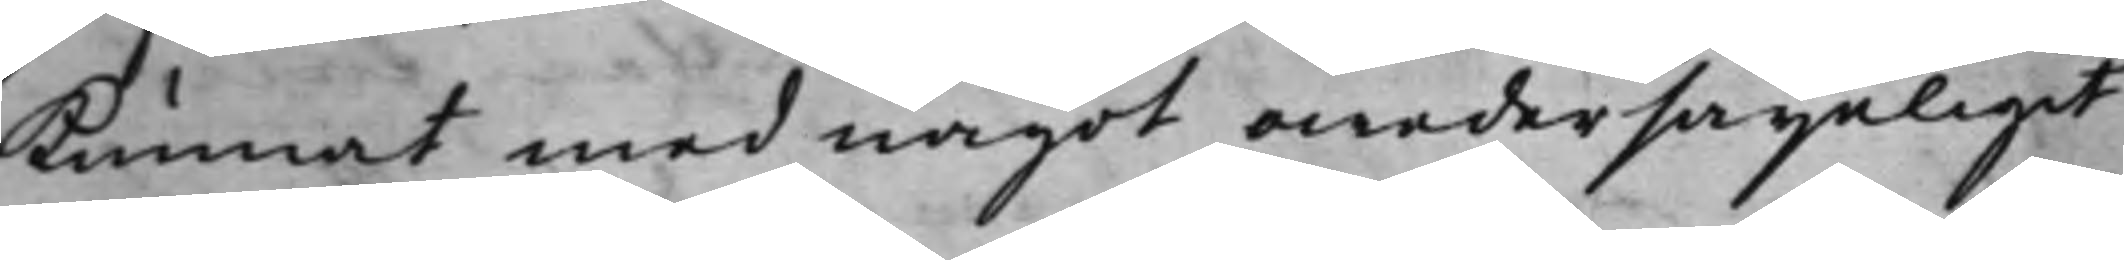kunnat med något owedersäyeligit
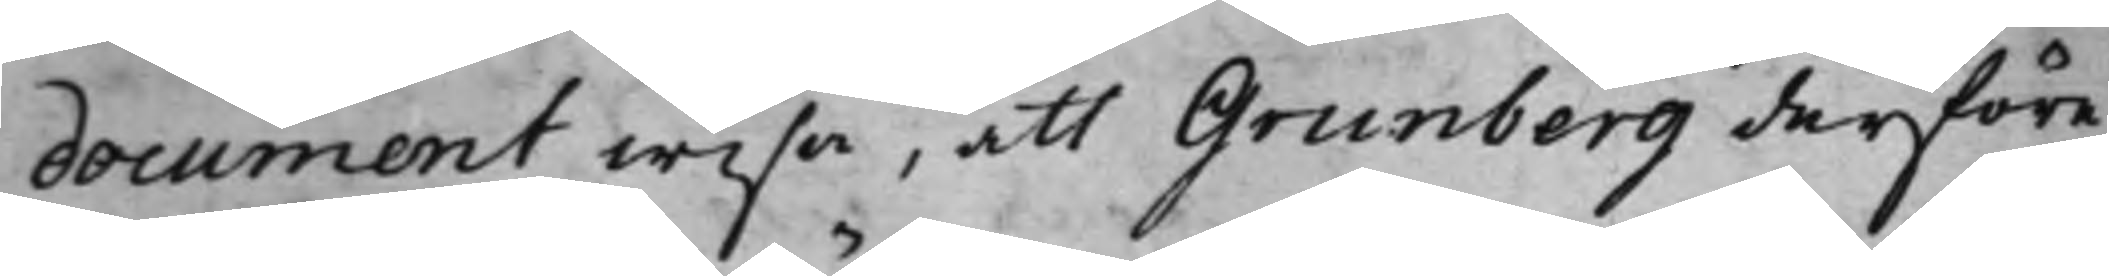document wisa, att Grunberg derföre
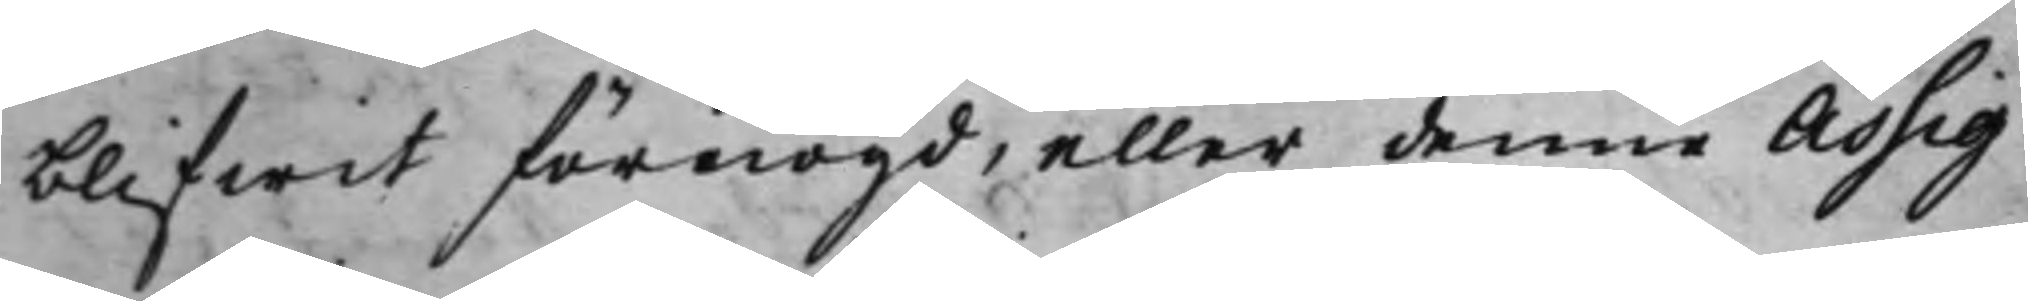blifwit förnögd, eller denne Assig¬
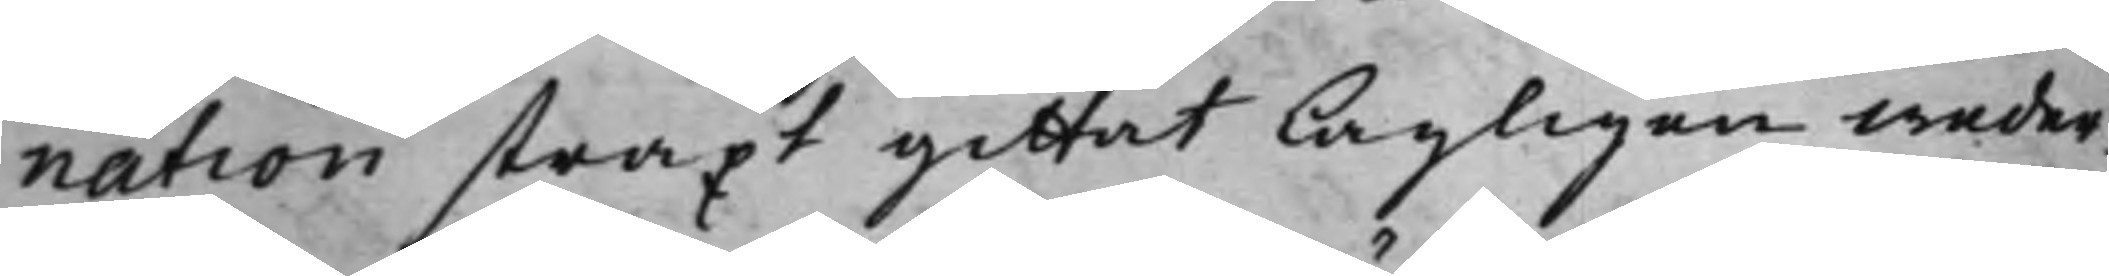nation straxt gittat lagligen weder¬
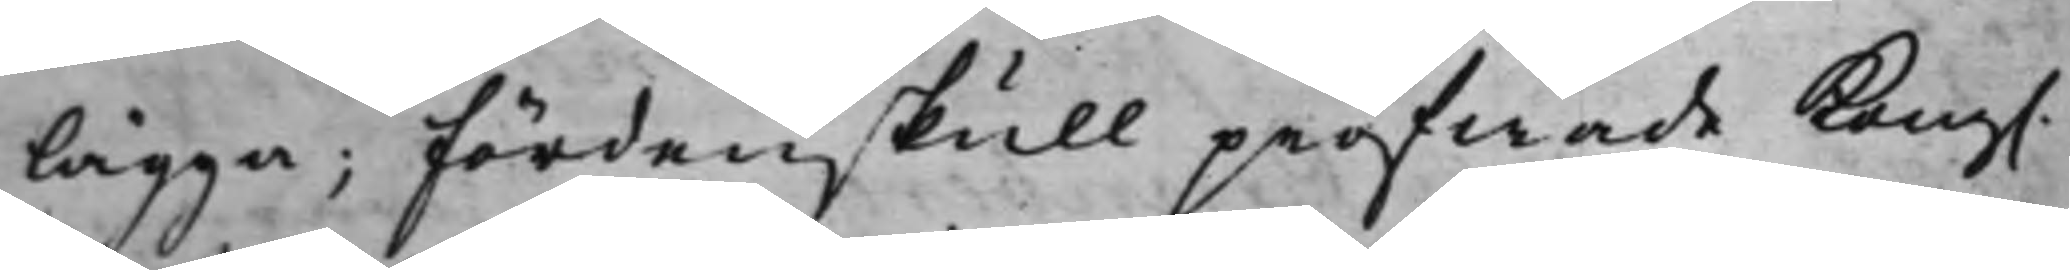lägga; fördenskull pröfwade Kong. 
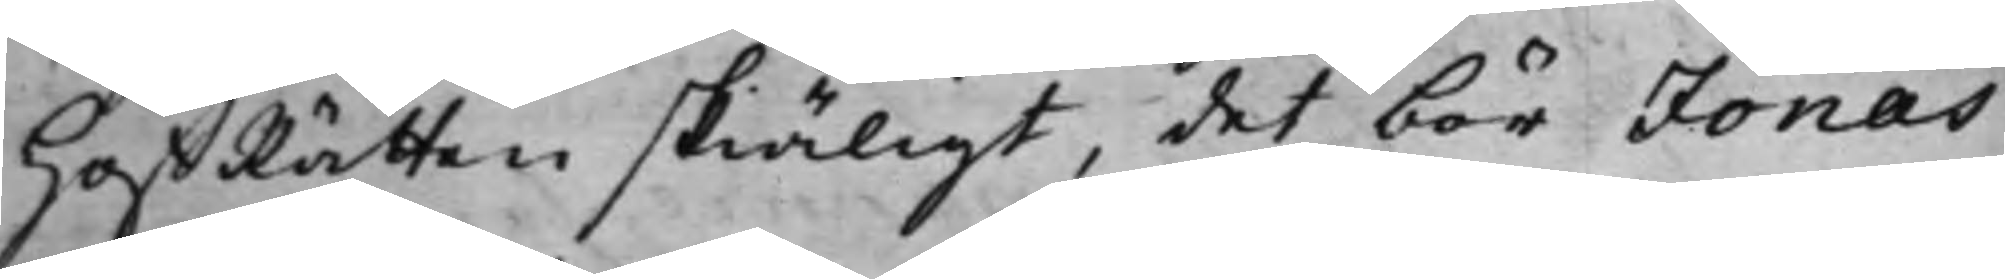HoffRätten skiäligt, det bör Jonas
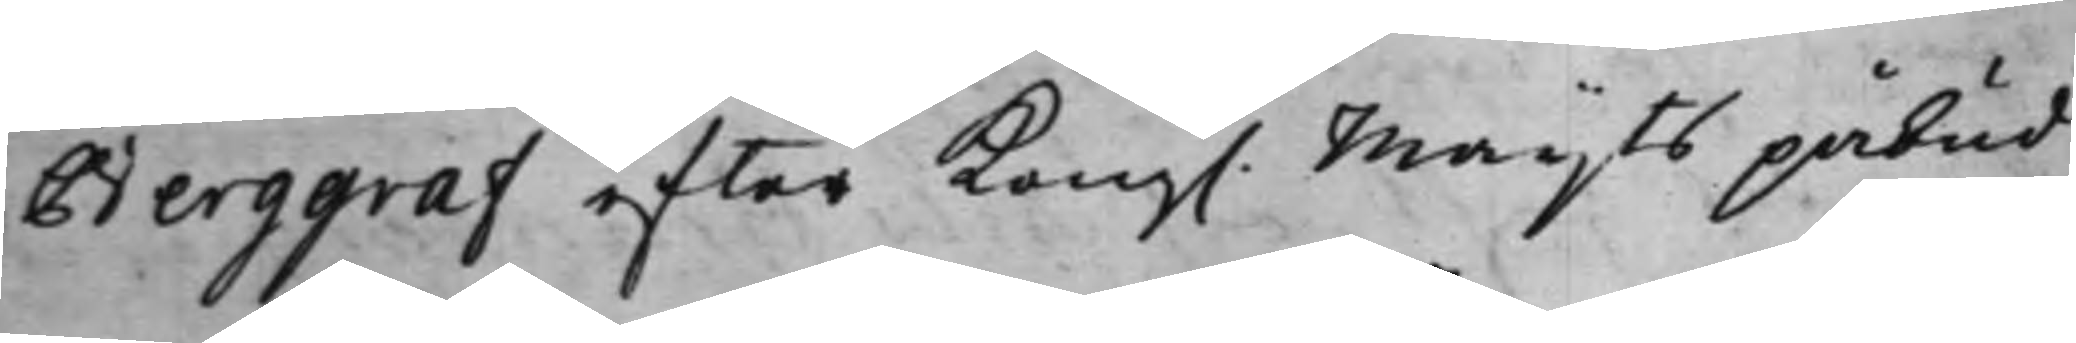Berggraf, efter Kong. Maijts påbud
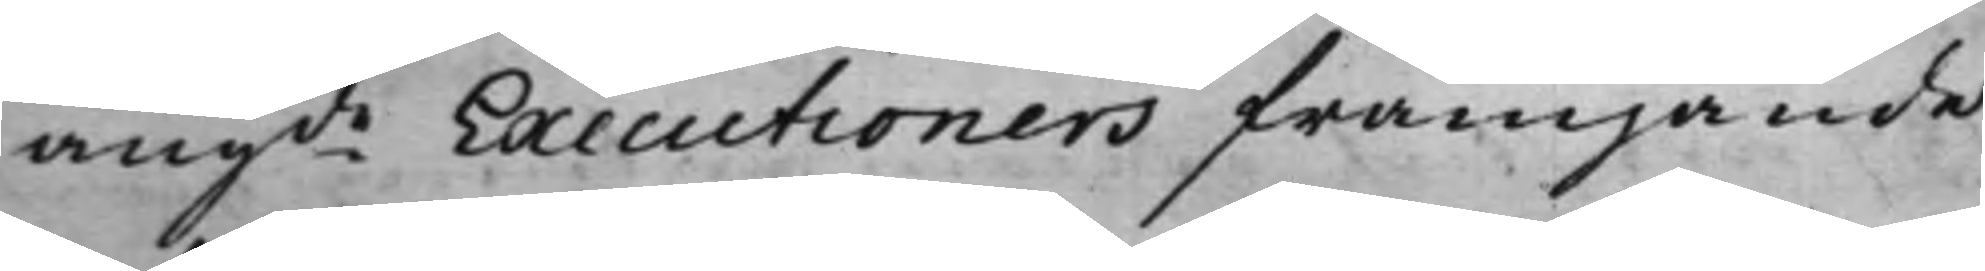angde Executioners främjande
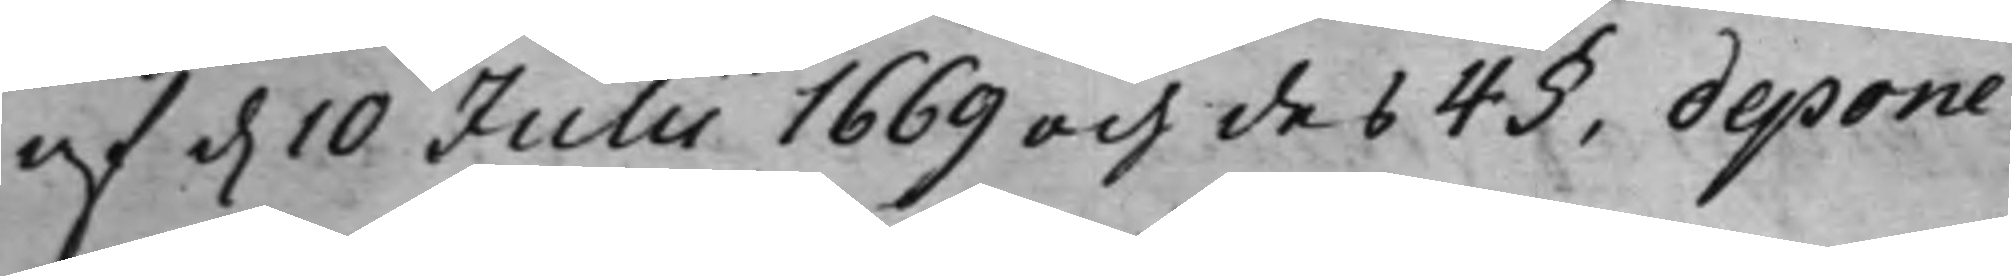af d. 10 Julii 1669 och des 4§, depone¬
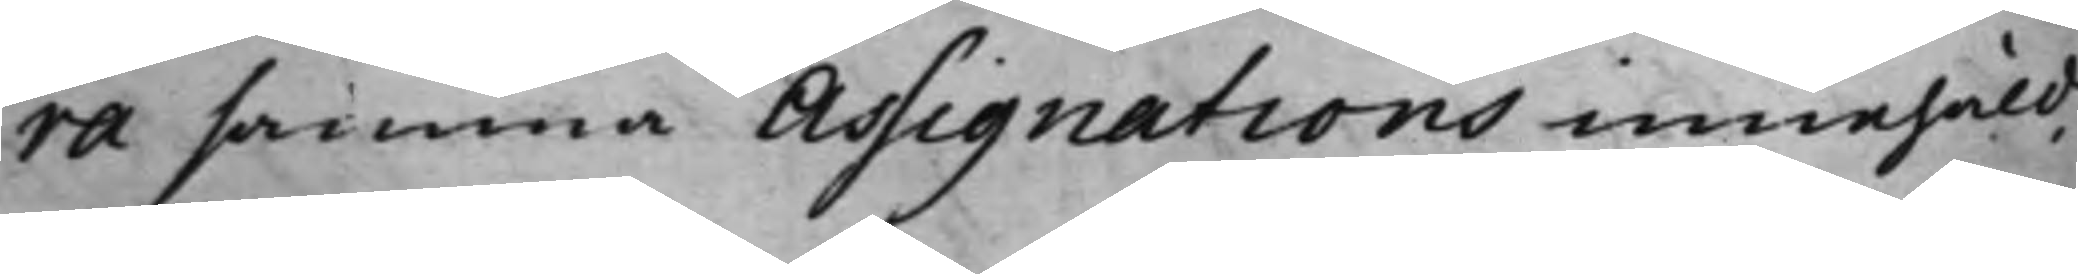ra samma Assignations innehåld,
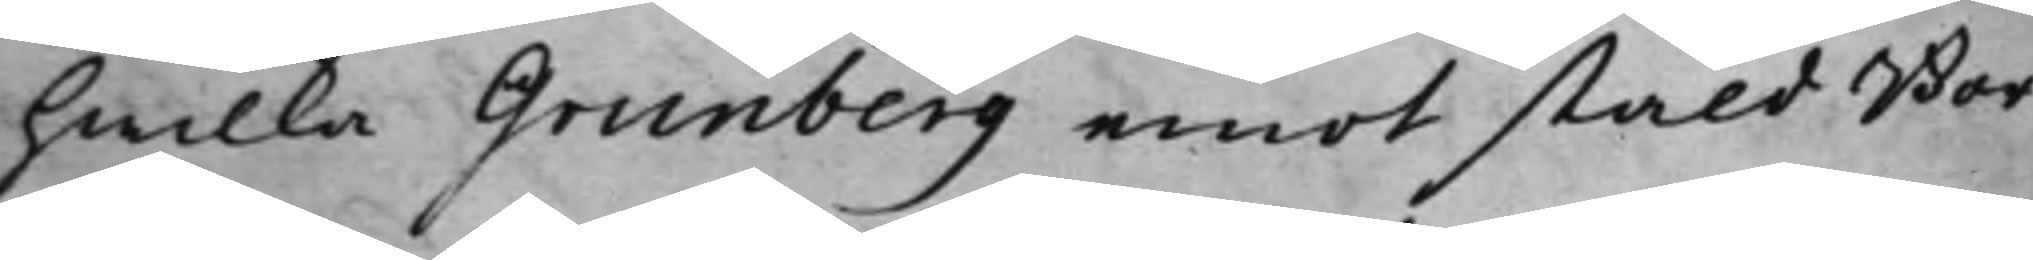hwilka Grunberg emot stäld Bor¬
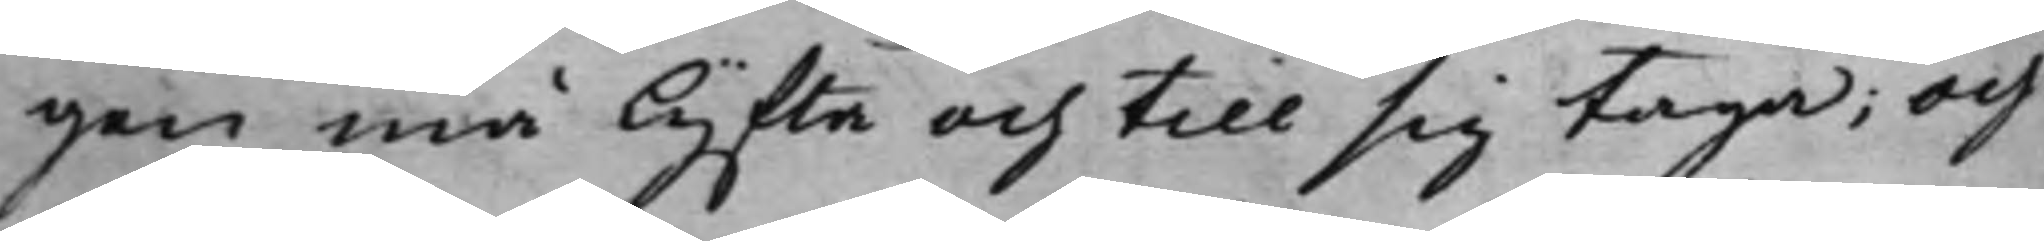gen må lyfta och till sig taga; Och
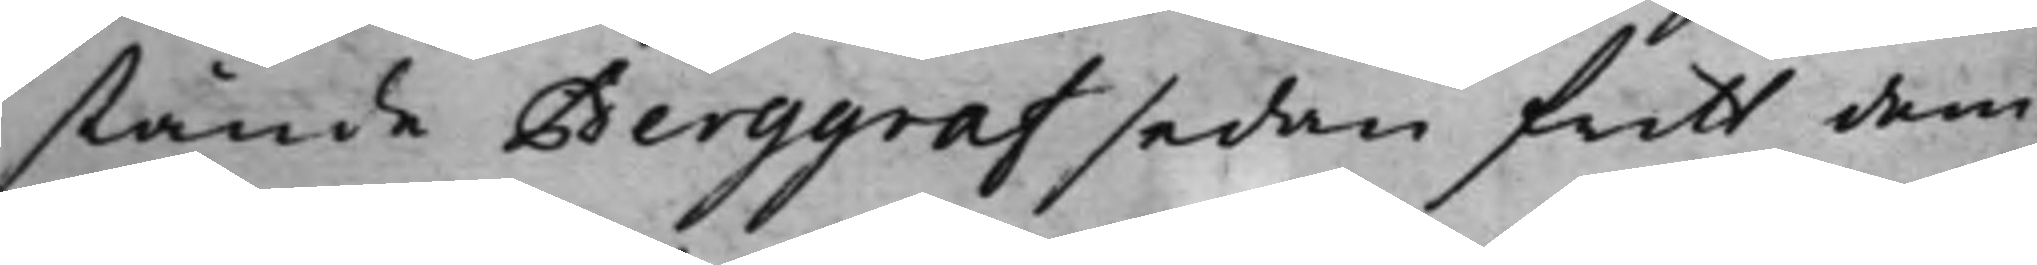stånde Berggraf sedan fritt dem¬
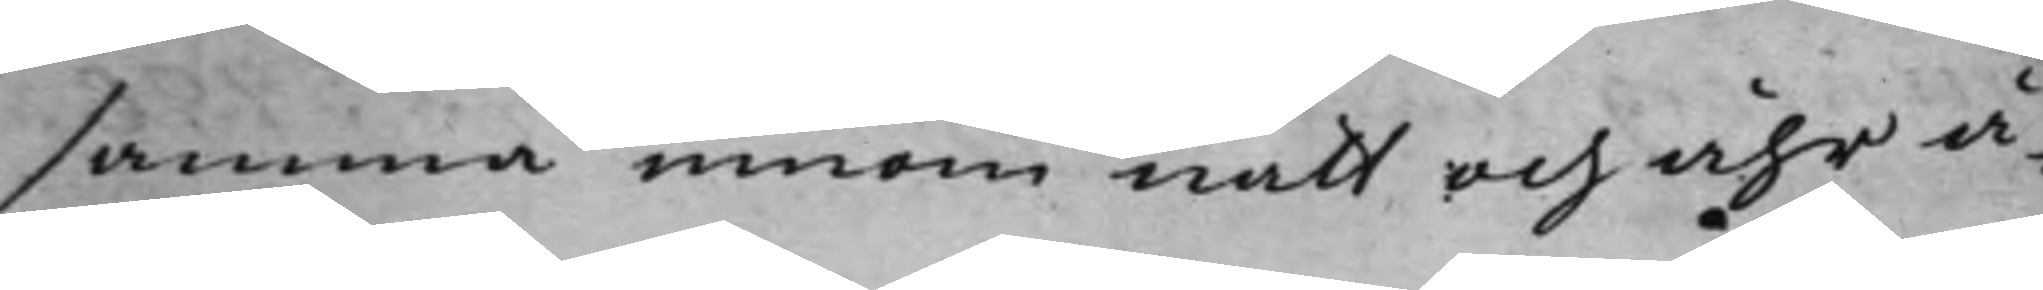samma innom natt och åhr å¬
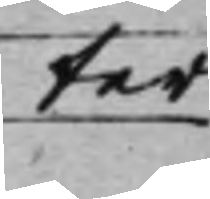ter
